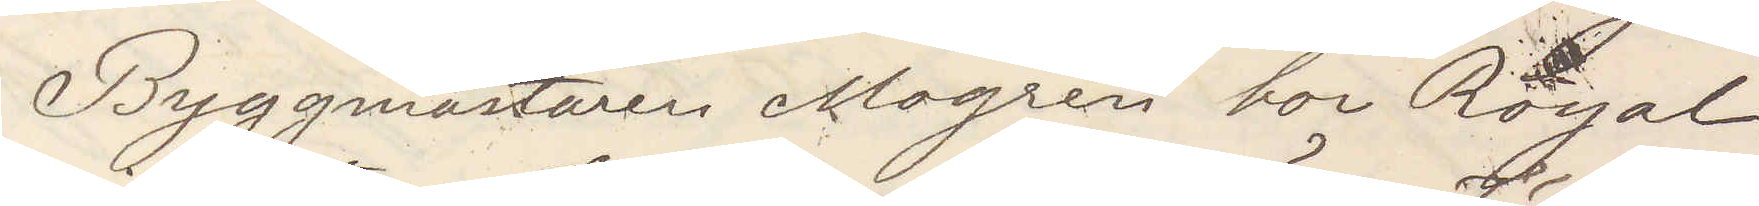Byggmästaren Mogren bor Royal
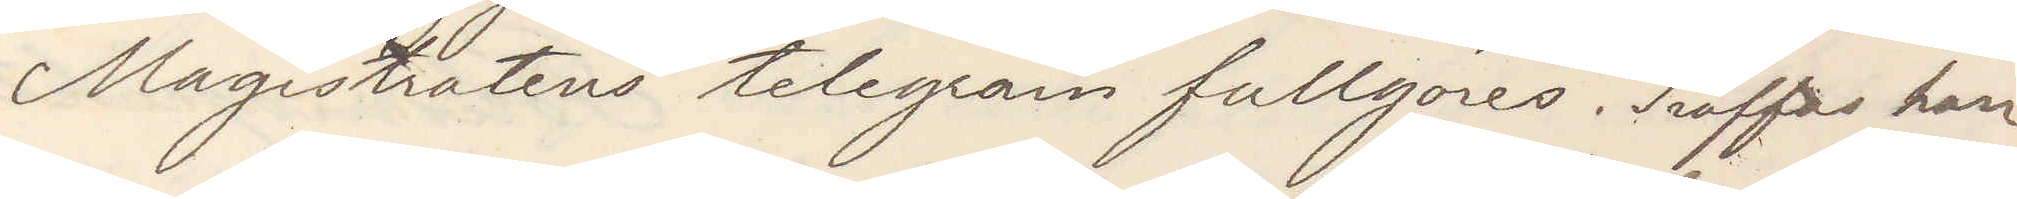Magistatens telegram fullgöres. Träffas han
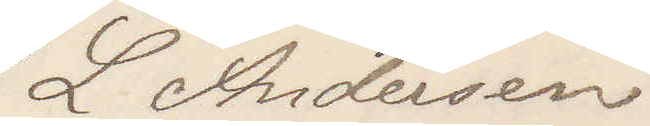L Andersson
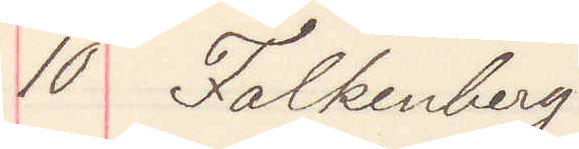10 Falkenberg
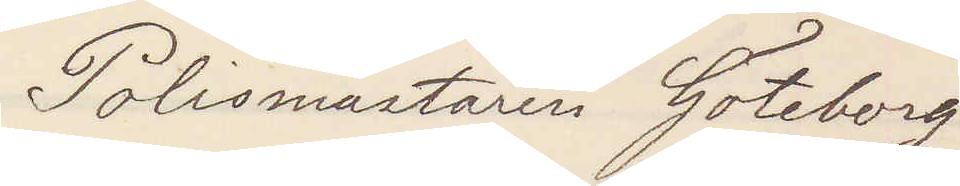Polismästaren Göteborg
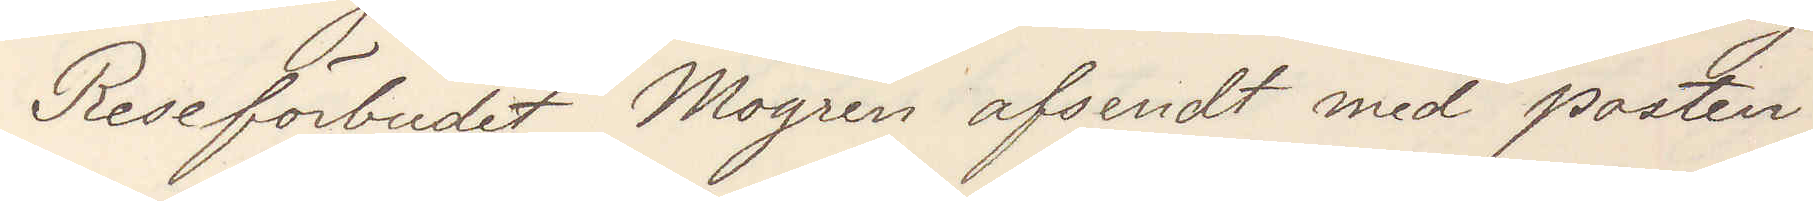Reseförbudet Mogren afsendt med posten.
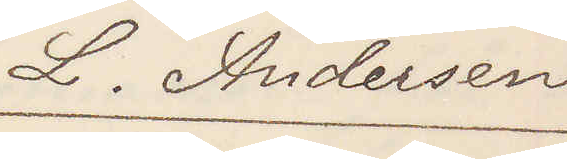L. Andersson
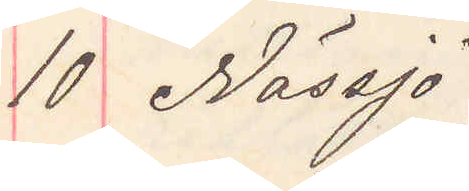10 Nässjö
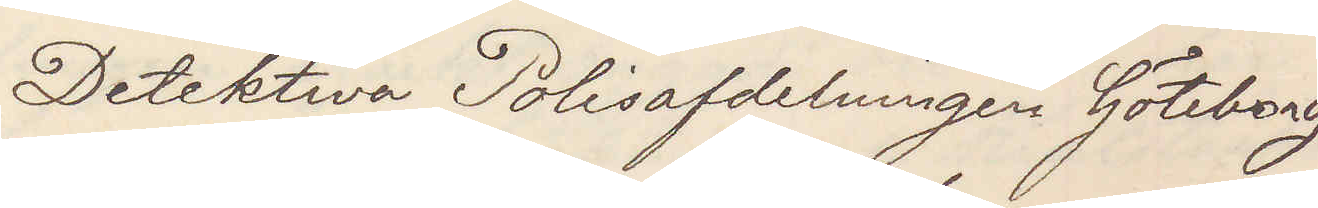Detektiva Polisafdelningen Göteborg
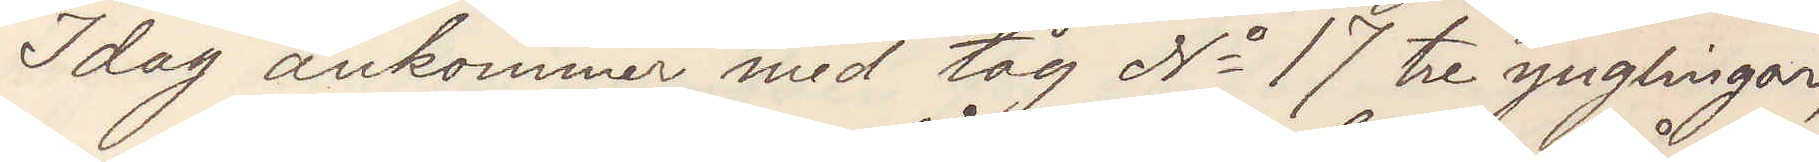Idag ankommer med tåg No 17 tre ynglingar,
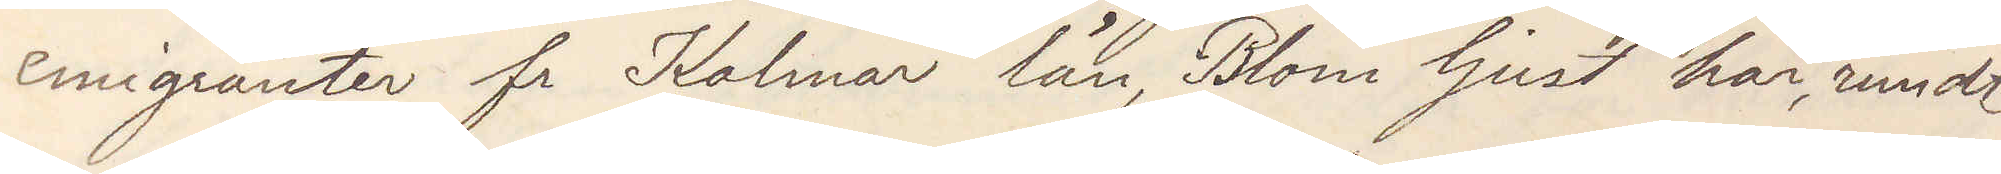emigranter från Kalmar län, Blom ljust hår, rundt
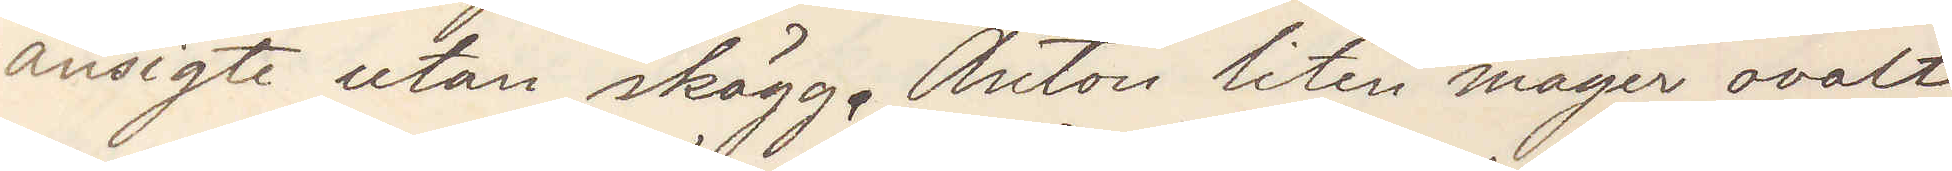ansigte utan skägg. Anton liten mager ovalt
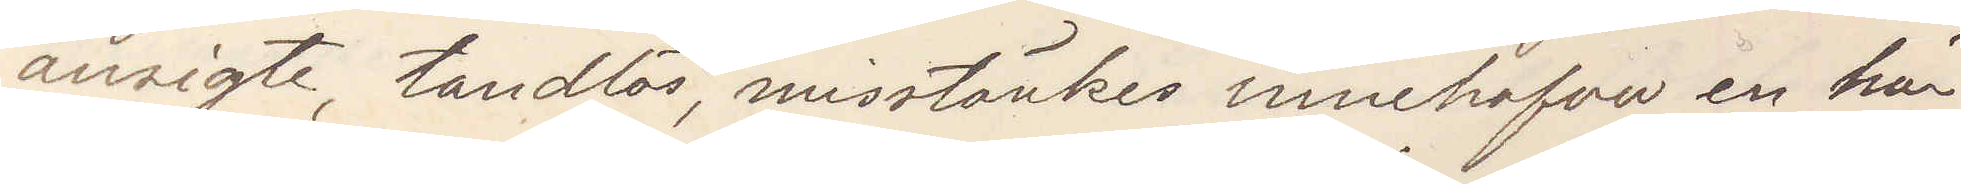ansigte, tandlös, misstänkes innehafva en här
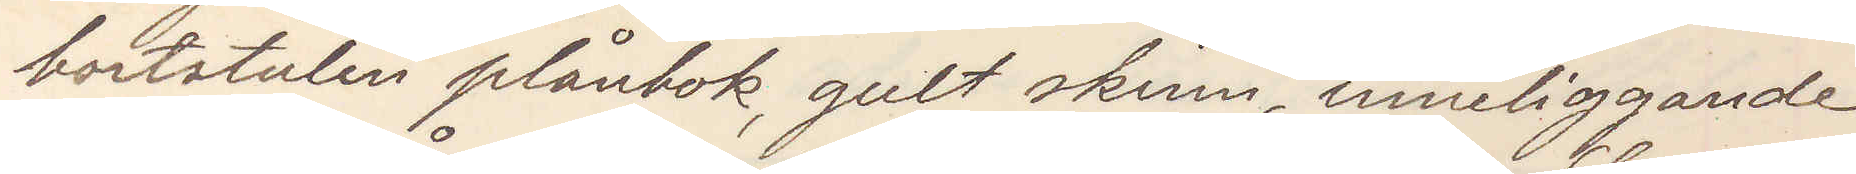bortstulen plånbok, gult skinn, inneliggande
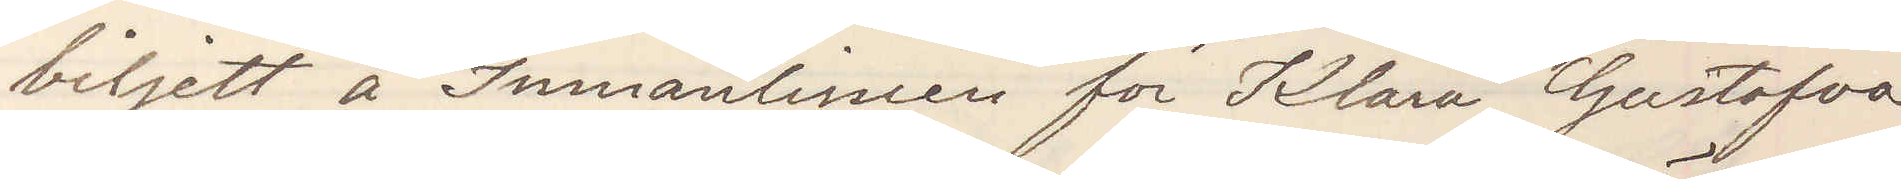biljett å Inmanlinien för Klara Gustafva
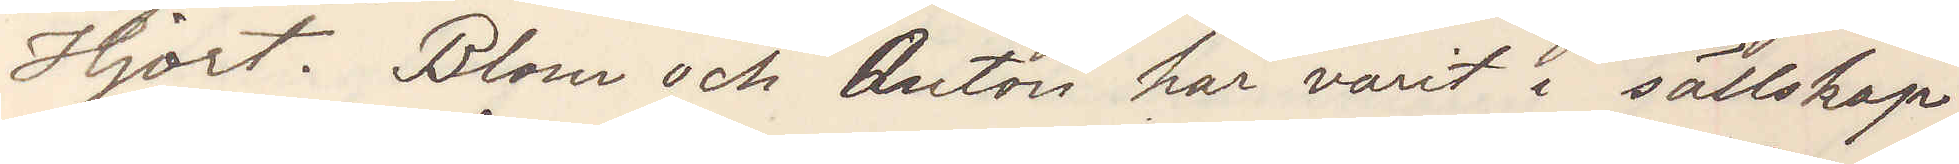Hjort. Blom och Anton har varit i sällskap
